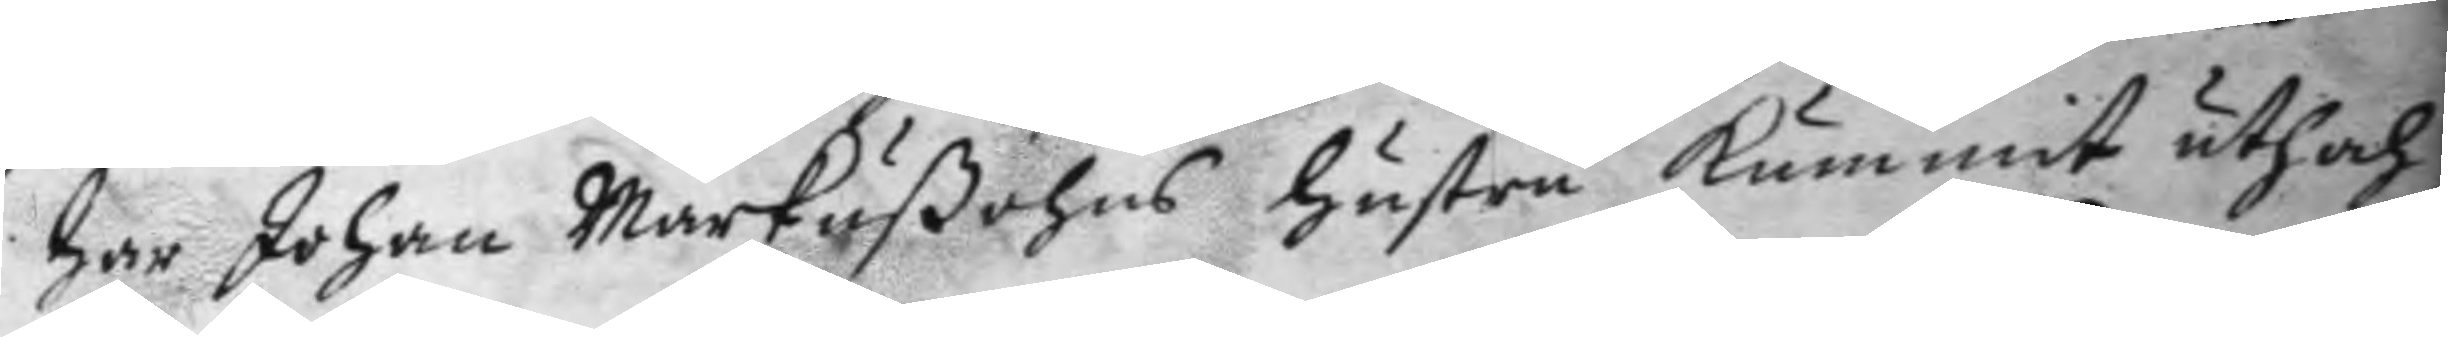har Johan Markußons hustru kummit uth och
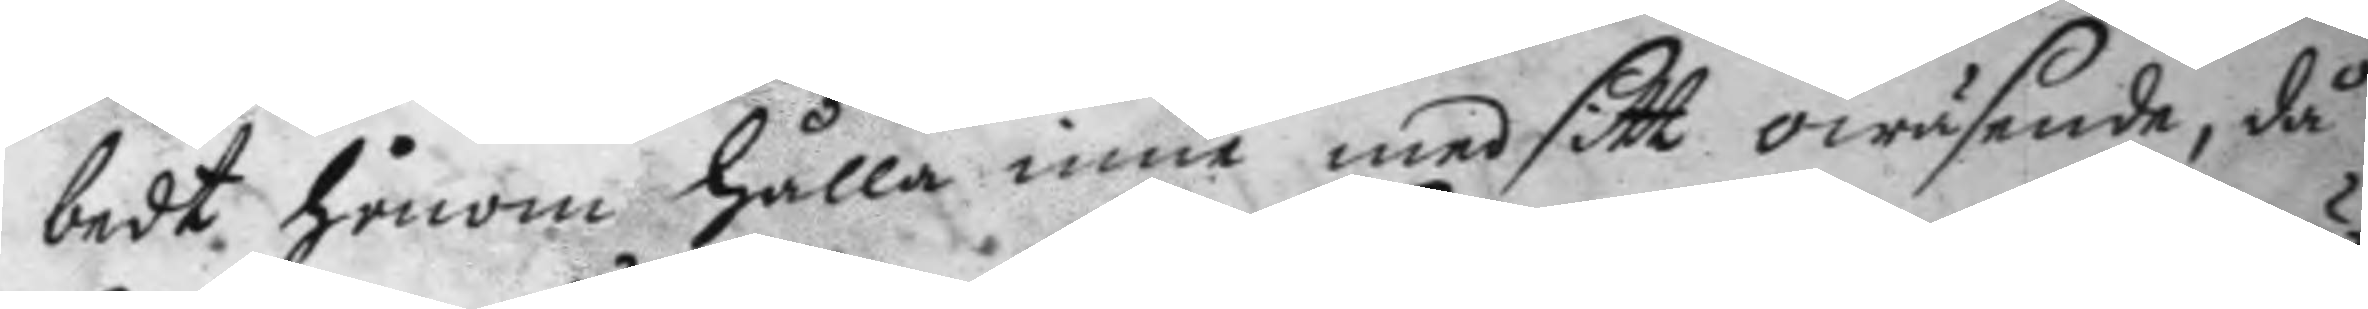bedt honom hålla inne med sitt owäsende, då
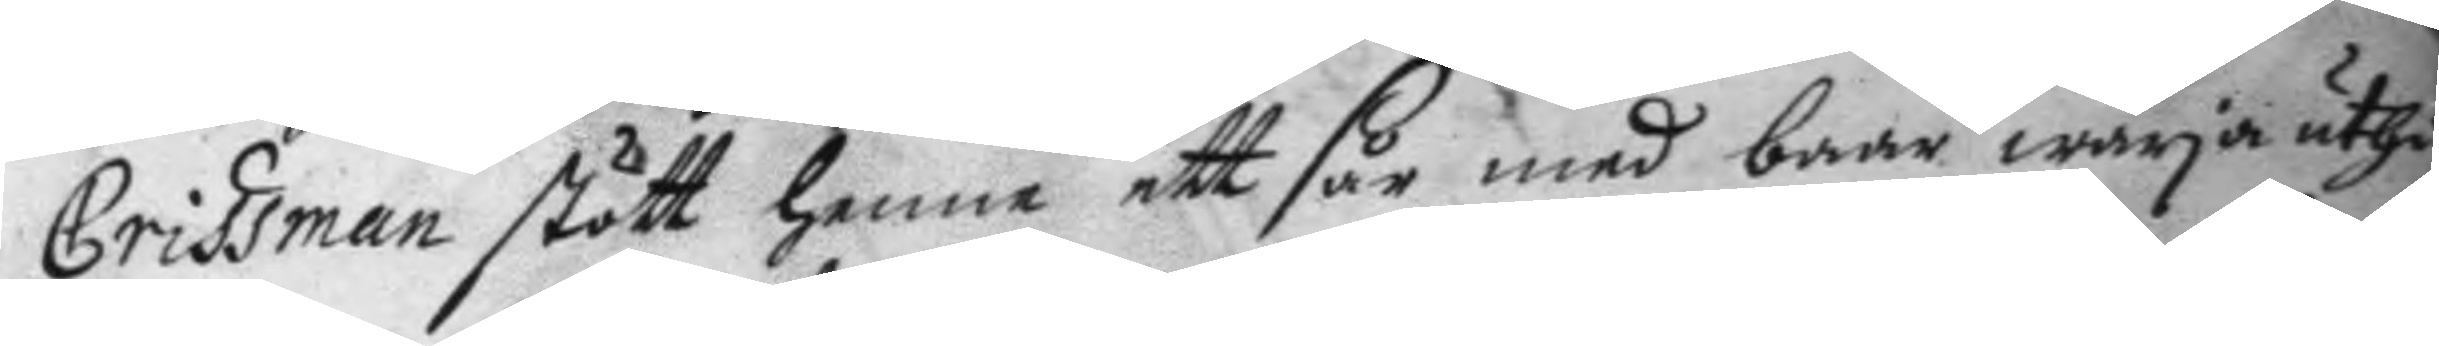Crissman stått henne ett sår med baar wrja uthi
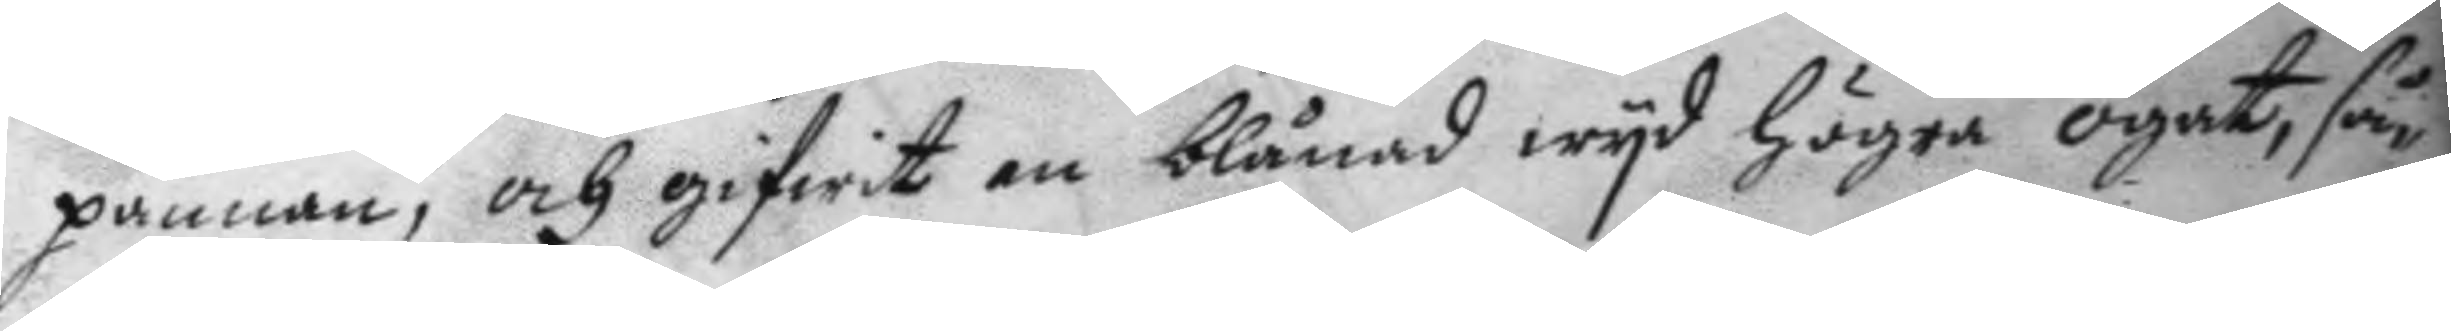pannan, och gifwit en blånad wyd högra ögat, får
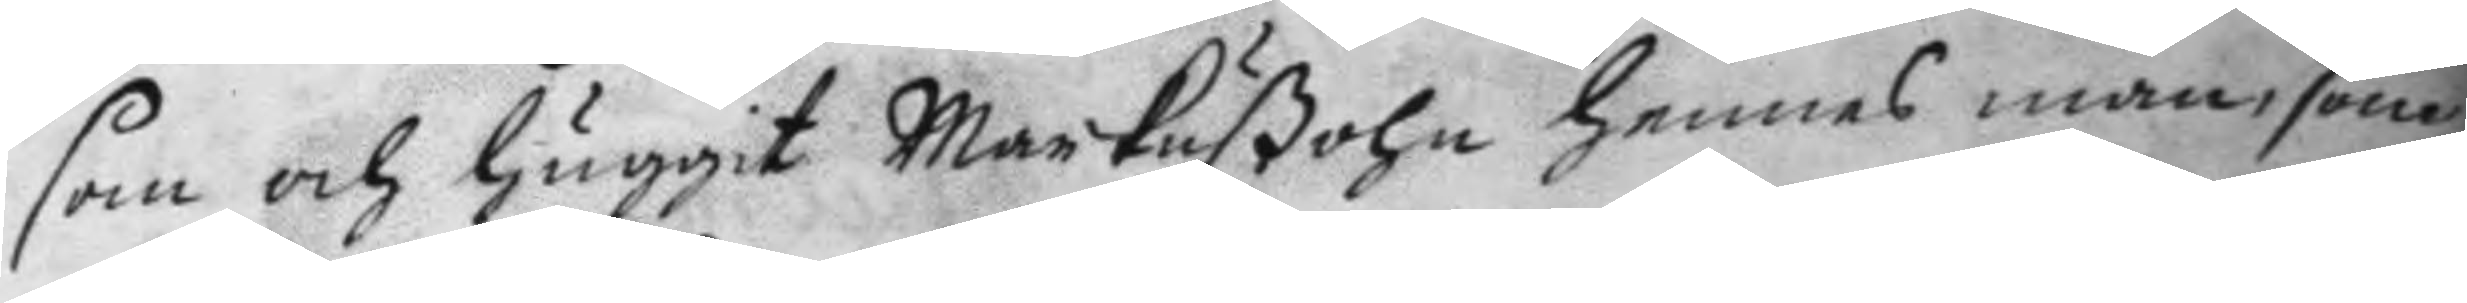som och huggit Markußohn hennes man, som
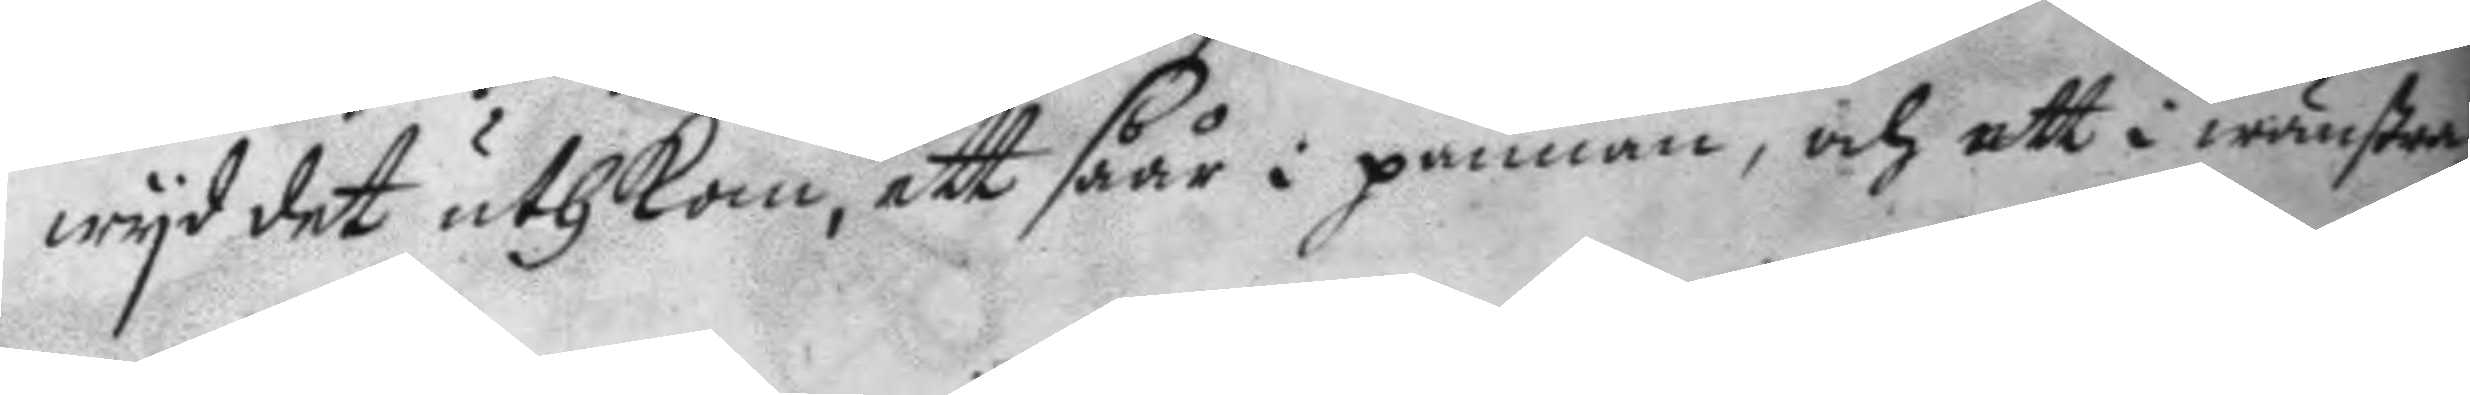wyd det uthkom, ett såår i pannan och ett i wänstra
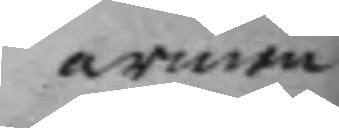armen
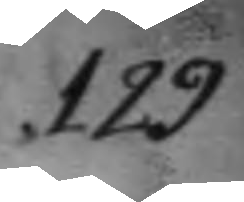129
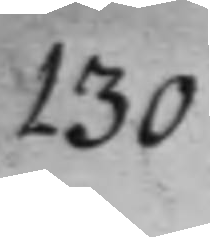130
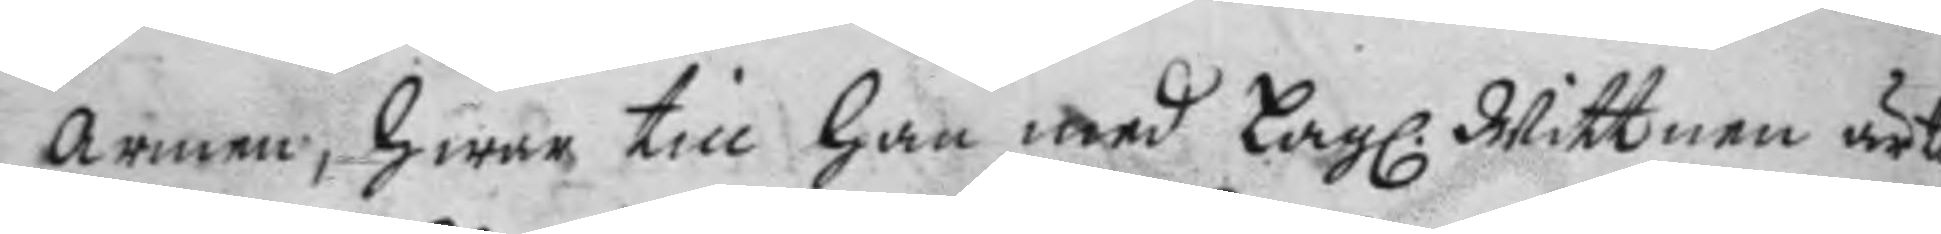armen, hwar till han med Lag. Wittnen är t
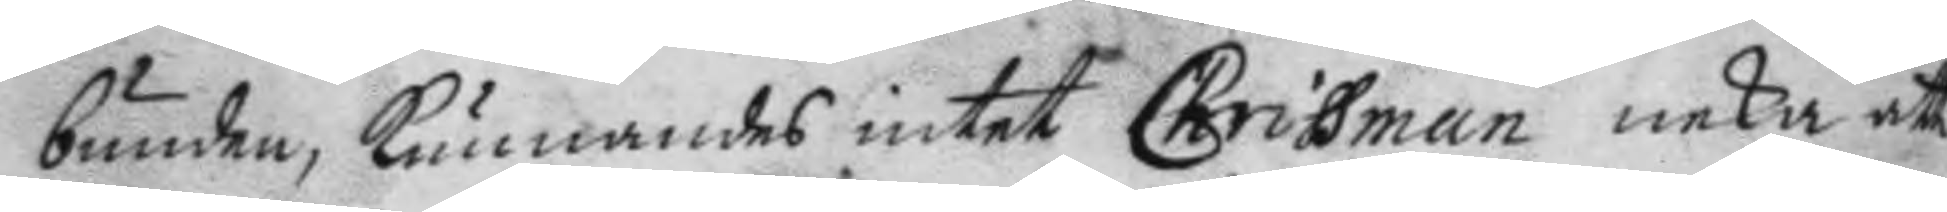bunden, kunnandes intet Chrissman neka att
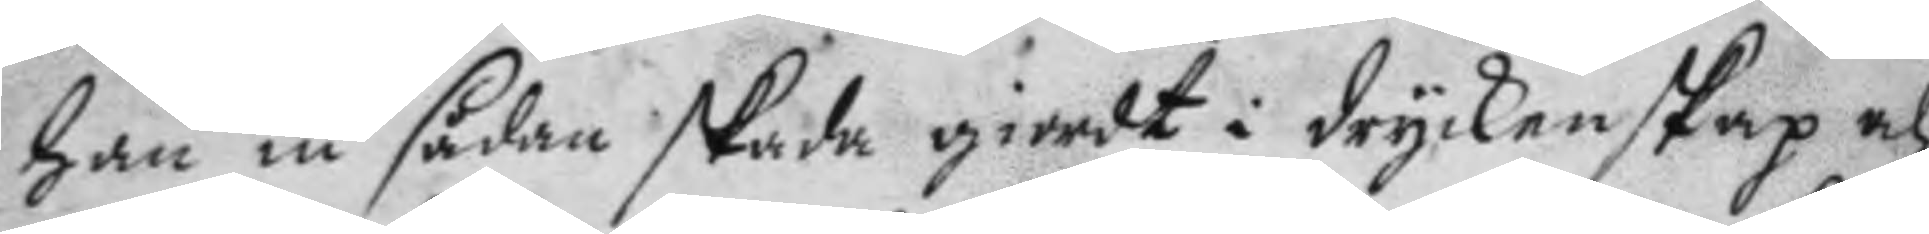han iu sådan skada giordt i dryckenskap ah
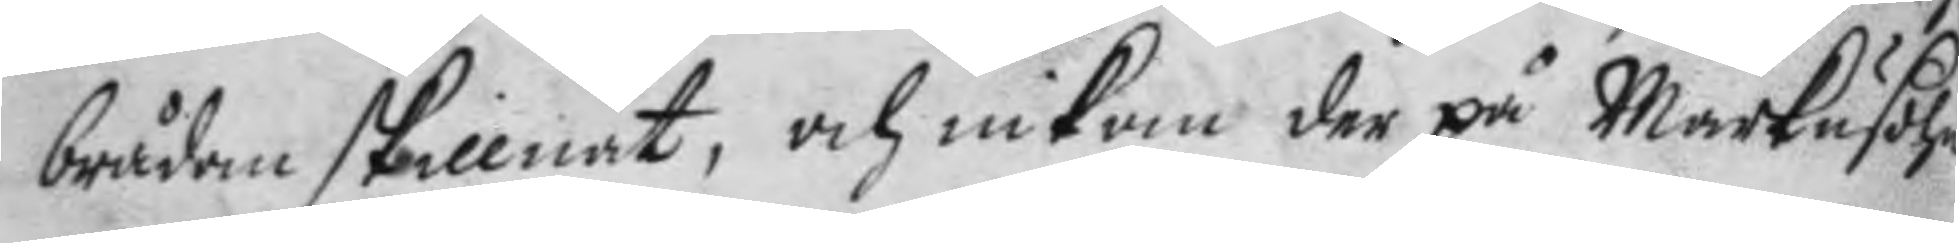brådan skillnat, och inkom der på Markusohn
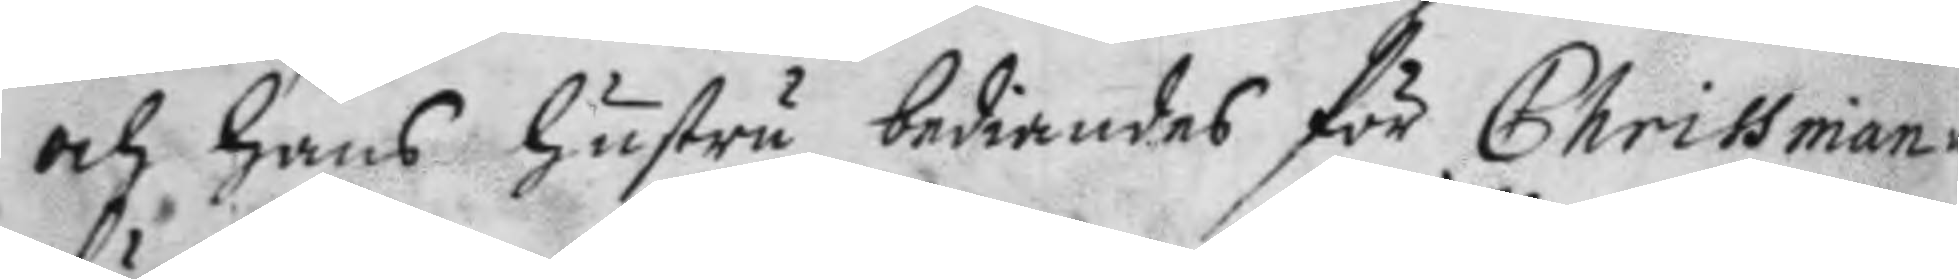och hans hustru bediandes för Chrissman
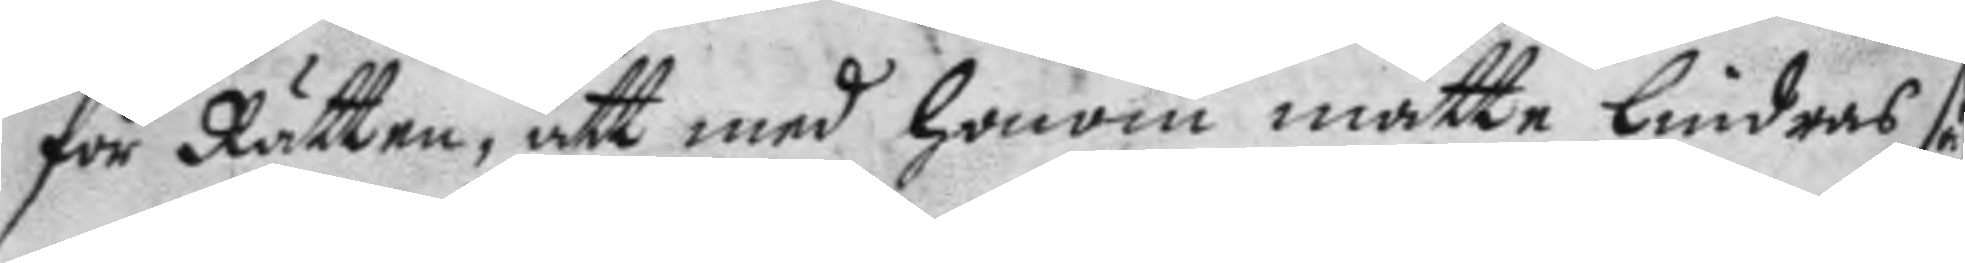för Rätten, att med honom måtte lindras så
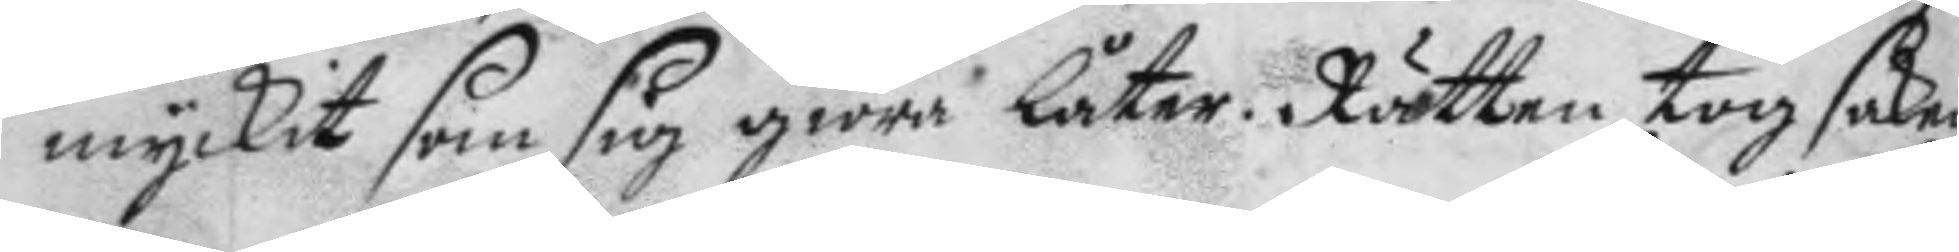myckit som sig giöra låter. Rätten tog saken
